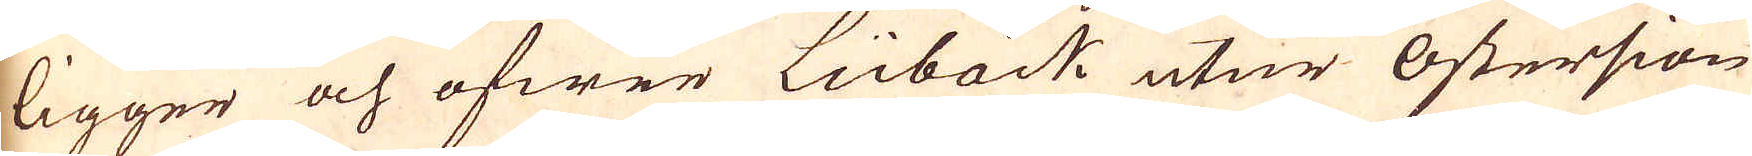ligger och öfwer Lübäck utur Östersiön
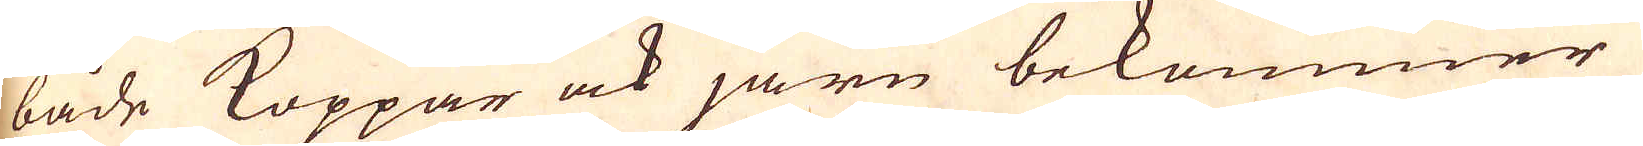både Koppar ock järn bekommer,
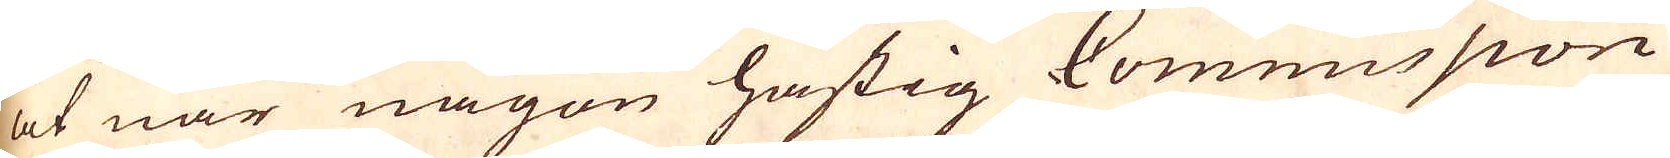at när någon hastig Commission
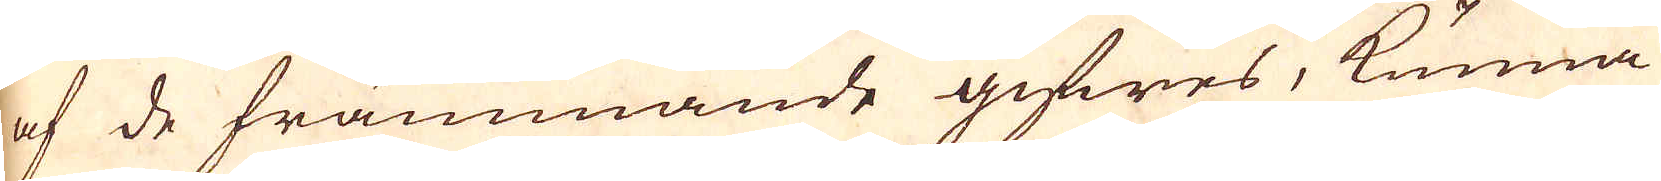af de främmande gifwes, kunna
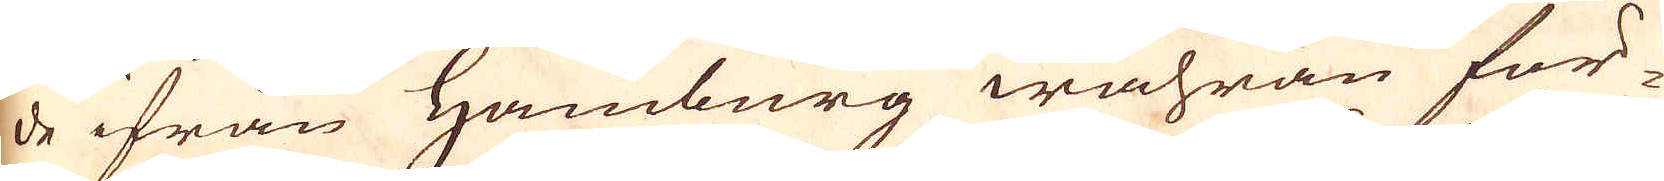de ifrån Hamburg wahran för-
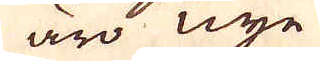äro nye
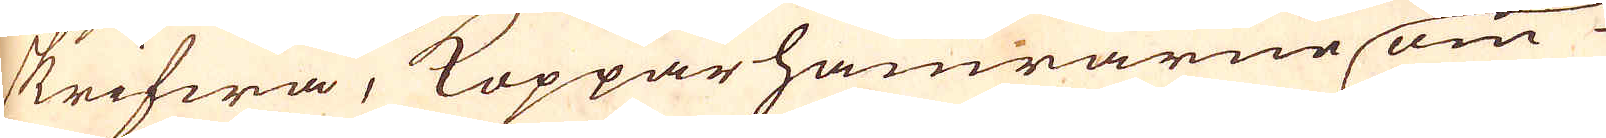skrifwa, Koppar hamrarne om
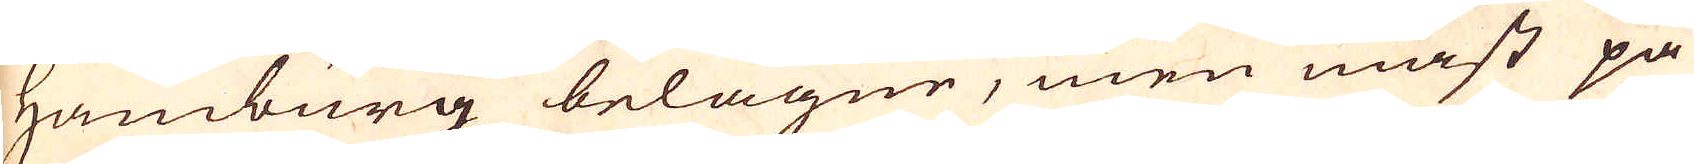Hamburg belägne, men mäst på
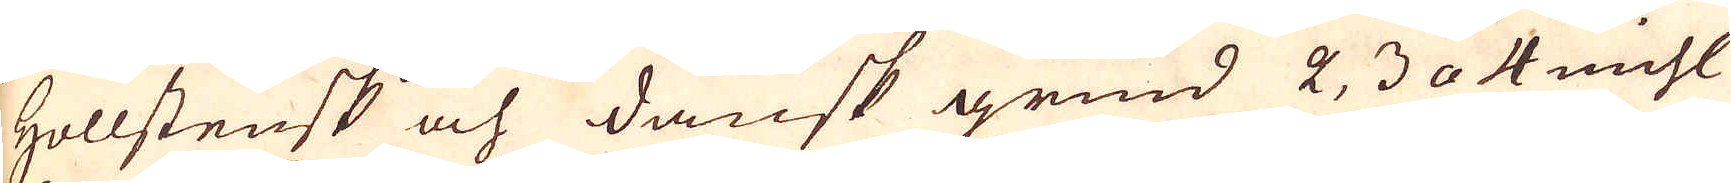Hollstensk och dansk grund 2, 3 a 4 mihl
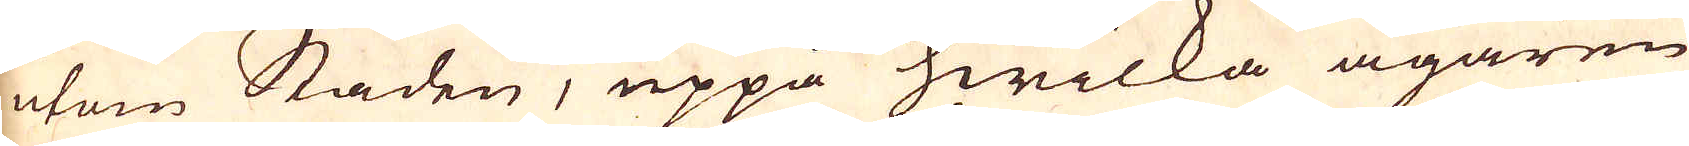utom Staden, uppå hwilka ägarne
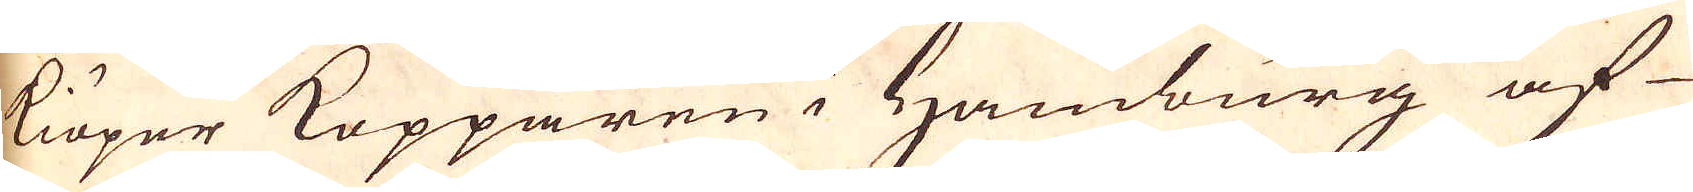kiöper Kopparen i Hamburg af
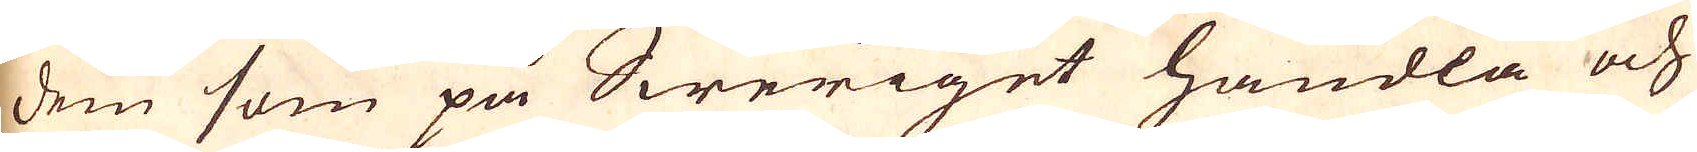dem som på Sweriget handla och
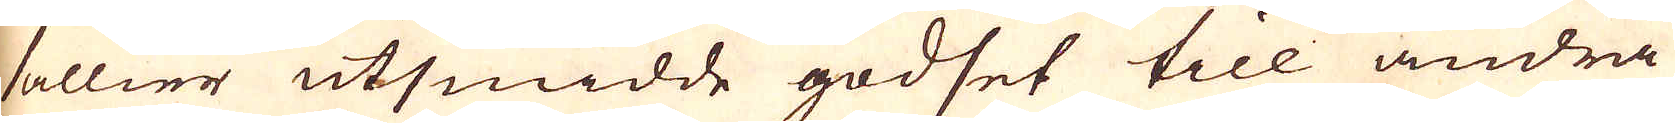sällier utsmidde godset till andra
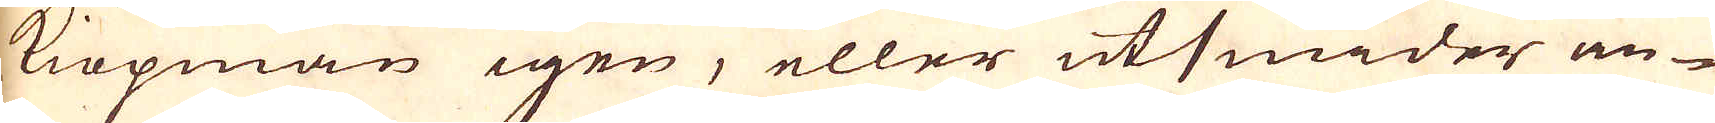kiöpmän igen, eller utsmider an-
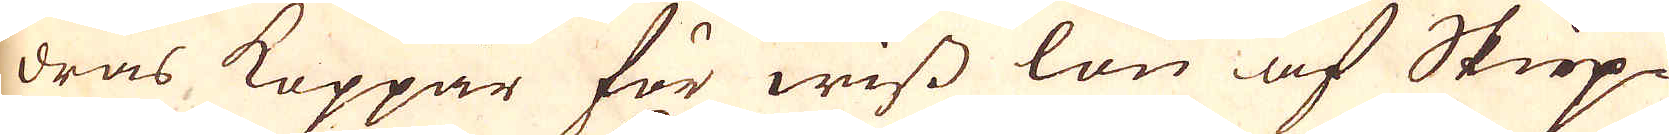dras Koppar för wiss lön af Skiep-
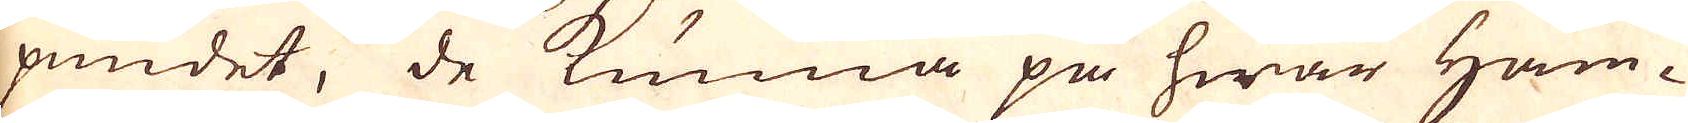pundet, de kunna på hwar Ham-
